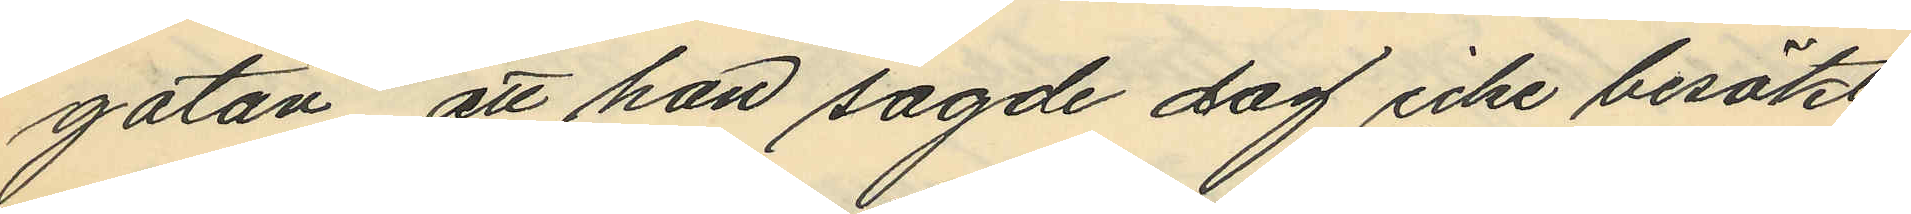gatan, att han sagde dag icke besökt
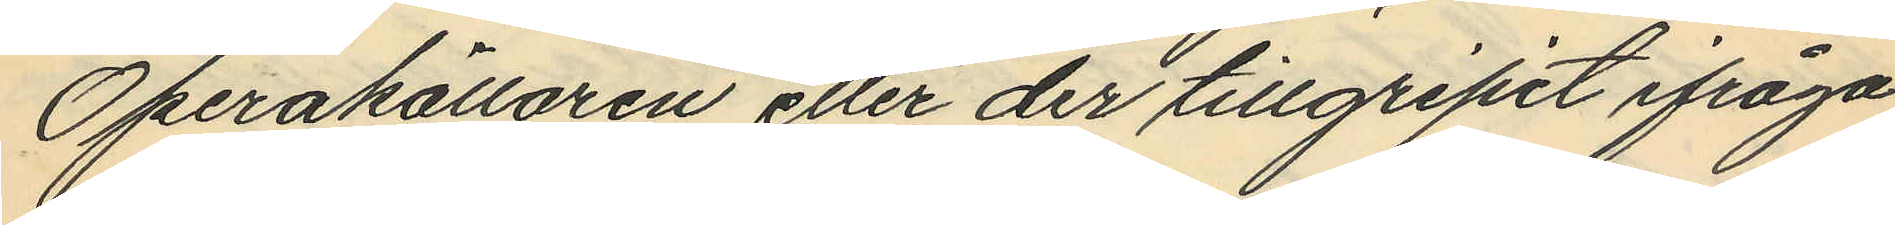Operakällaren eller der tillgripit ifråga¬
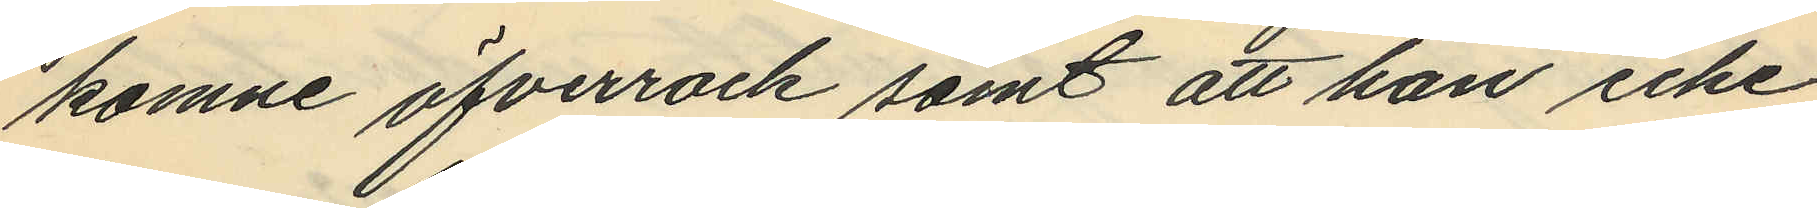komne öfverrock samt att han icke
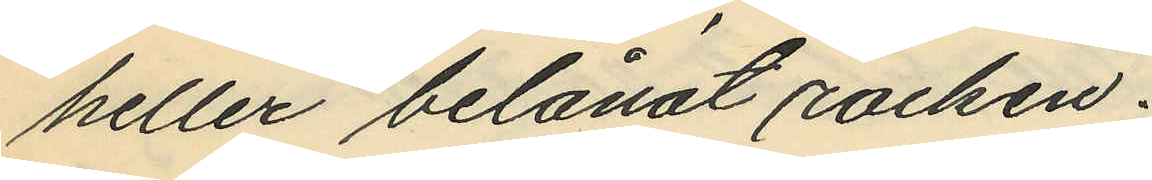heller belånat rocken.
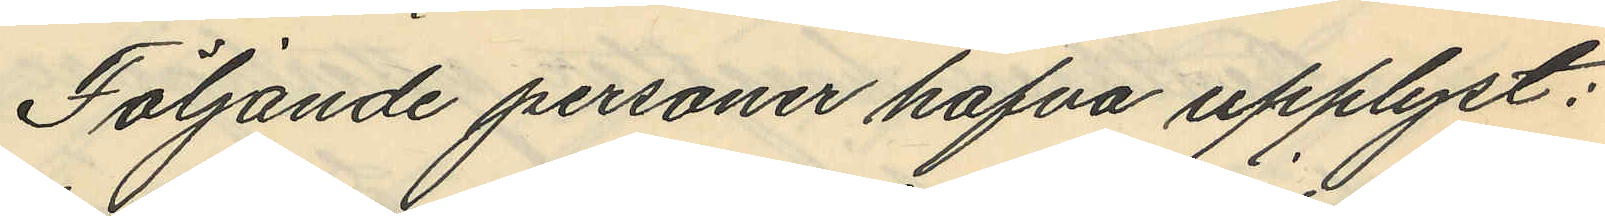Följande personer hafva upplyst:
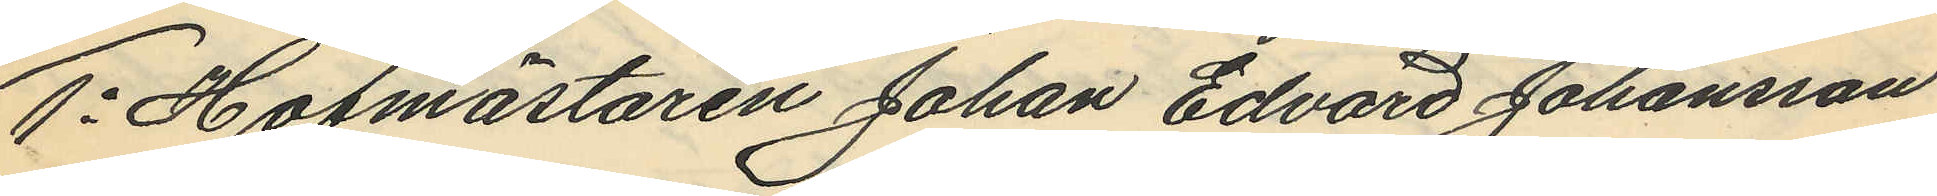1o Hofmästaren Johan Edvard Johansson
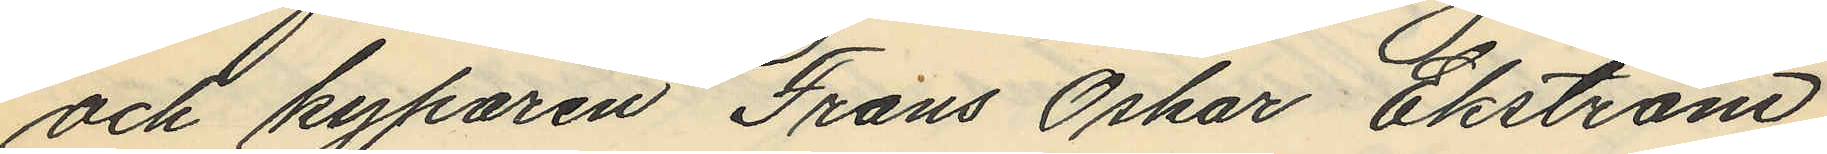och kyparen Frans Oskar Ekström,
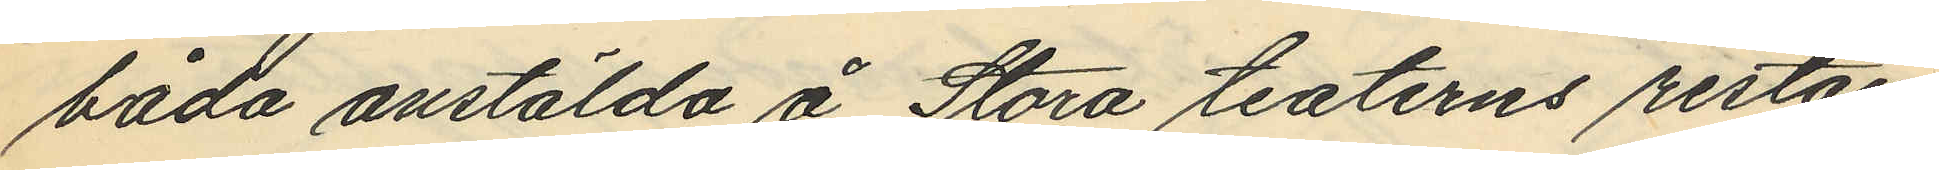båda anstälda å Stora teaterns restau¬
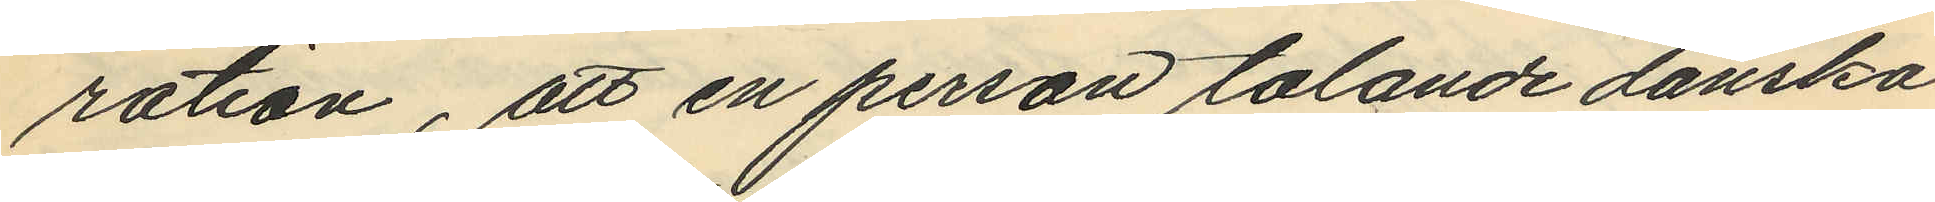ration, att en person talande danska
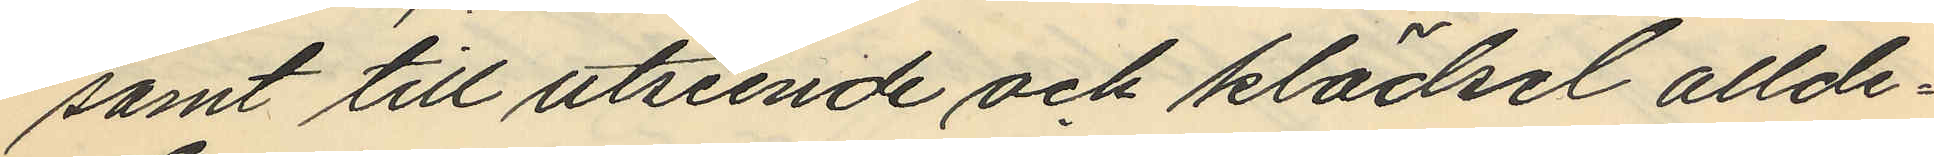samt till utseende och klädsel allde¬
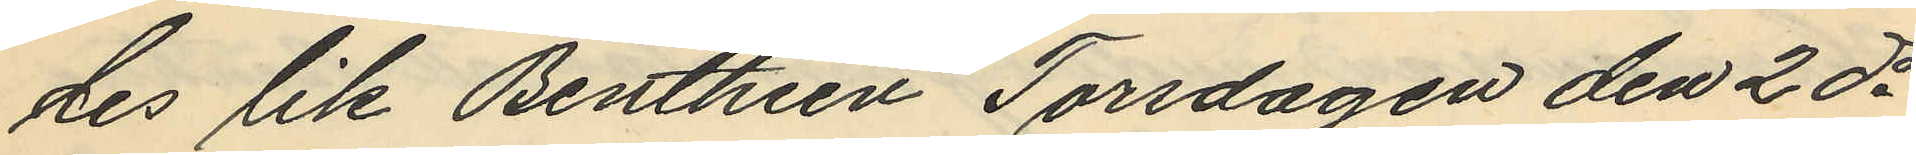des lik Benthien Torsdagen den 2 ds
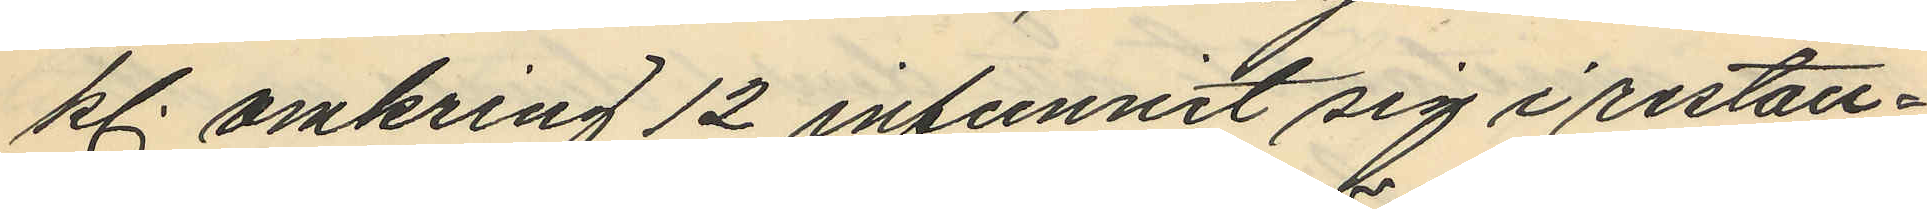kl. omkring 12 infunnit sig i restau¬
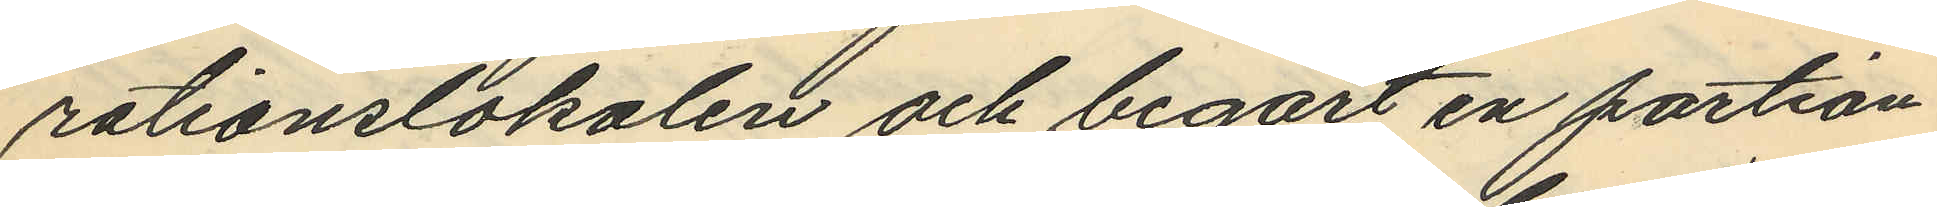rationslokalen och begärt en portion
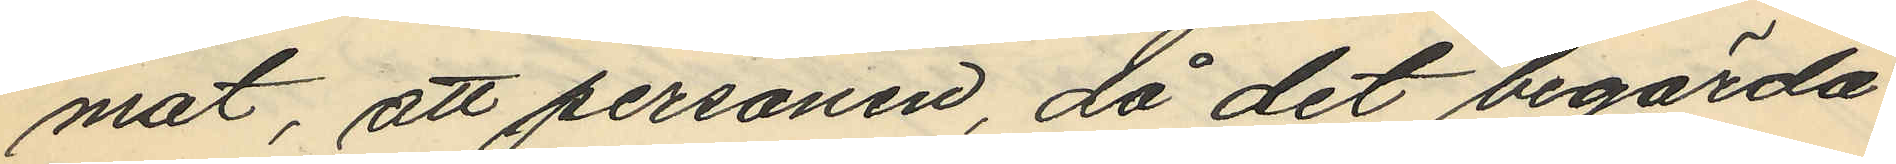mat, att personen, då det begärda
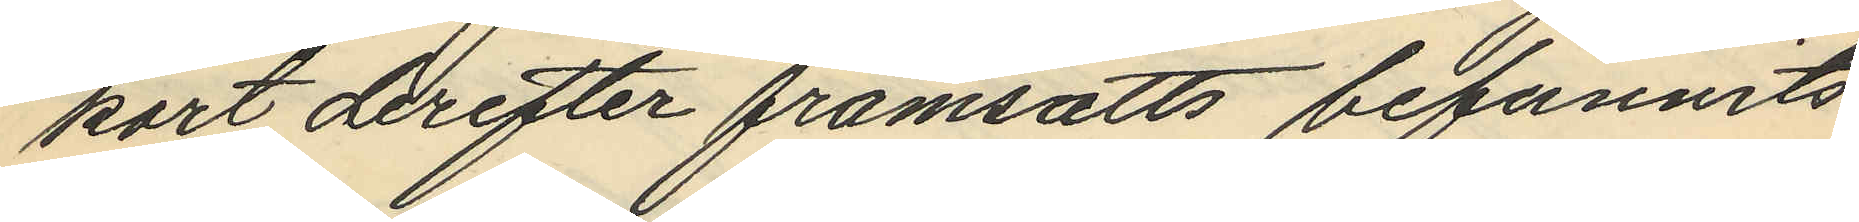kort derefter framsatts befunnits
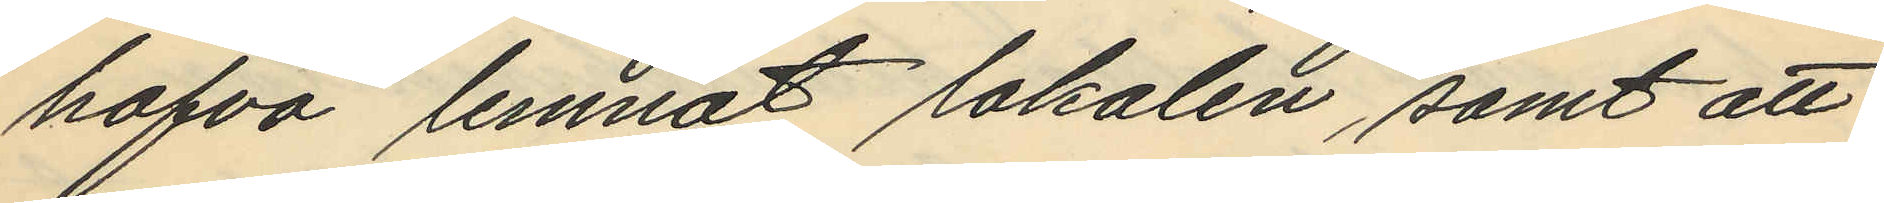hafva lemnat lokalen, samt att
